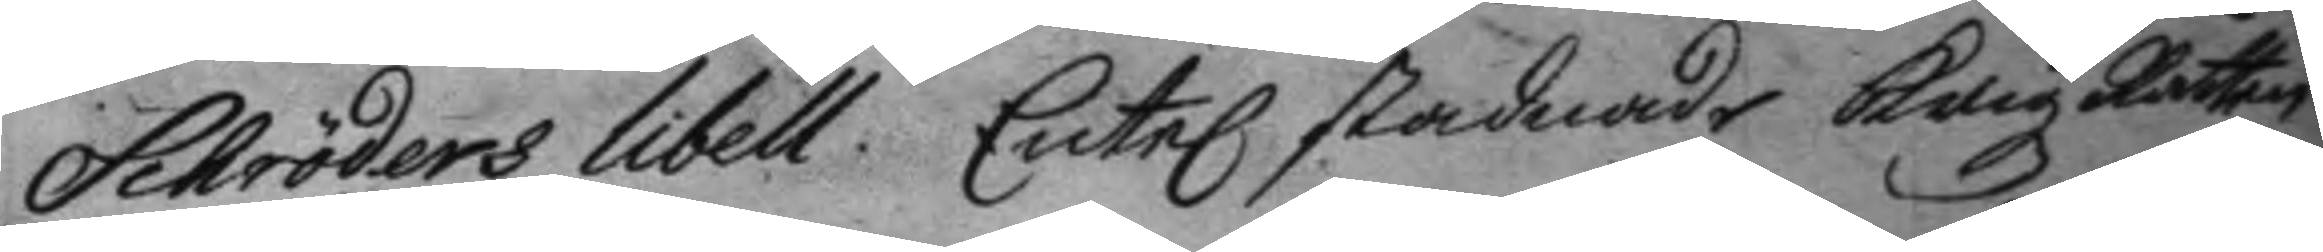Schröders libell. Ente stadnade Krigz Rätten
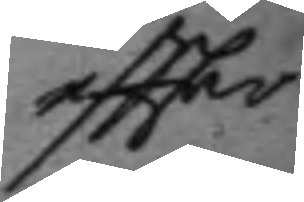eftter             
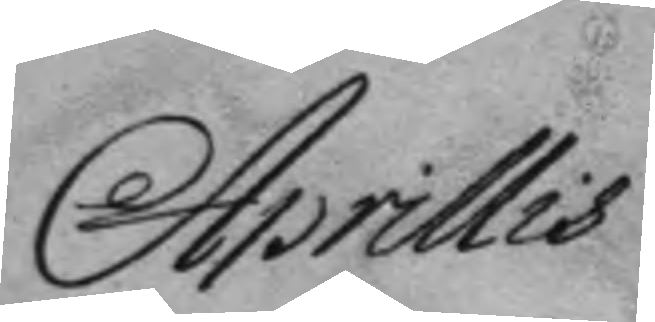Aprillis
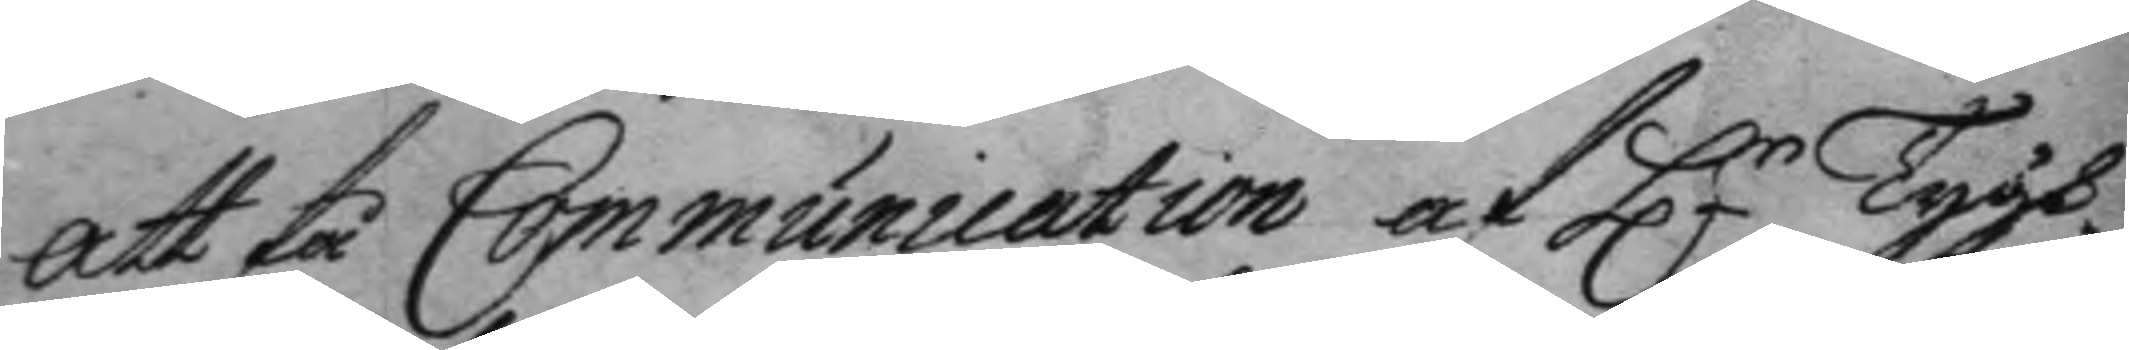att få Communication af Hr Tygh¬
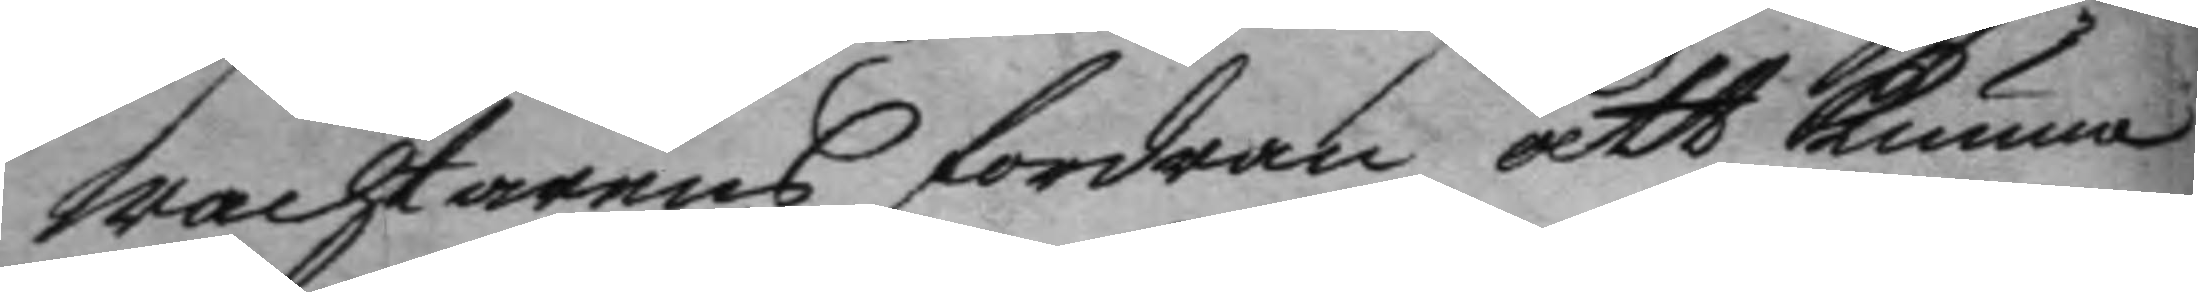wachtarens fordran att kunna
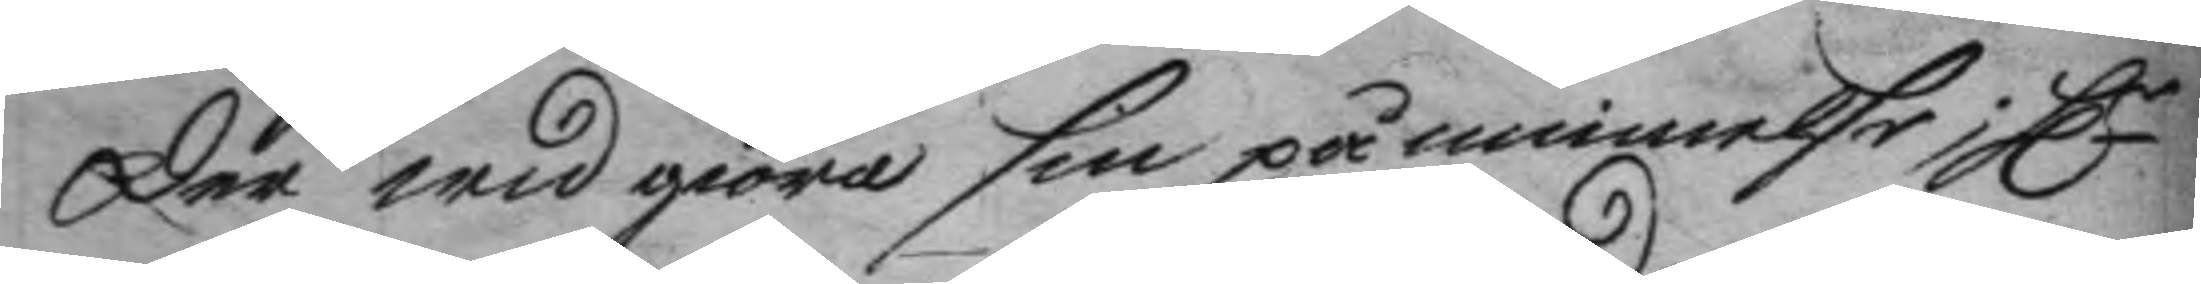der med giöra sin påminnelse; Hr
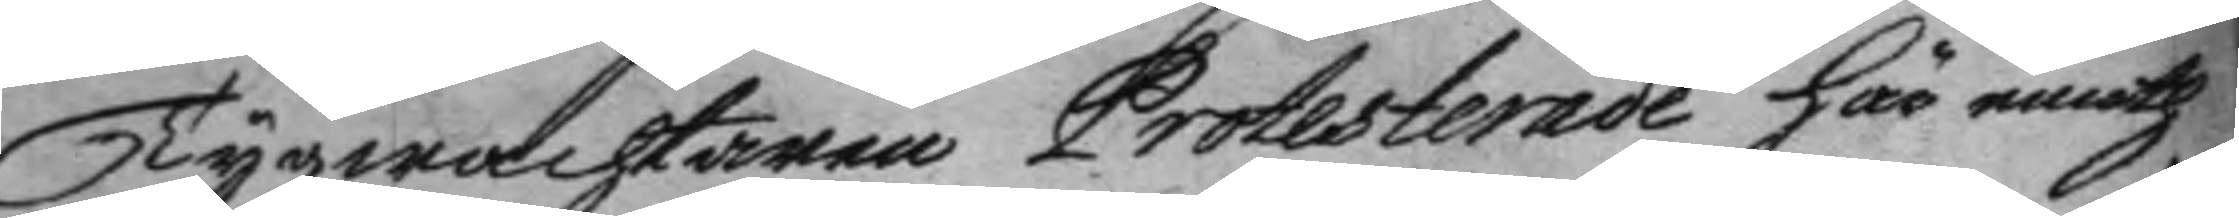Tygmästaren Protesterade här emoth
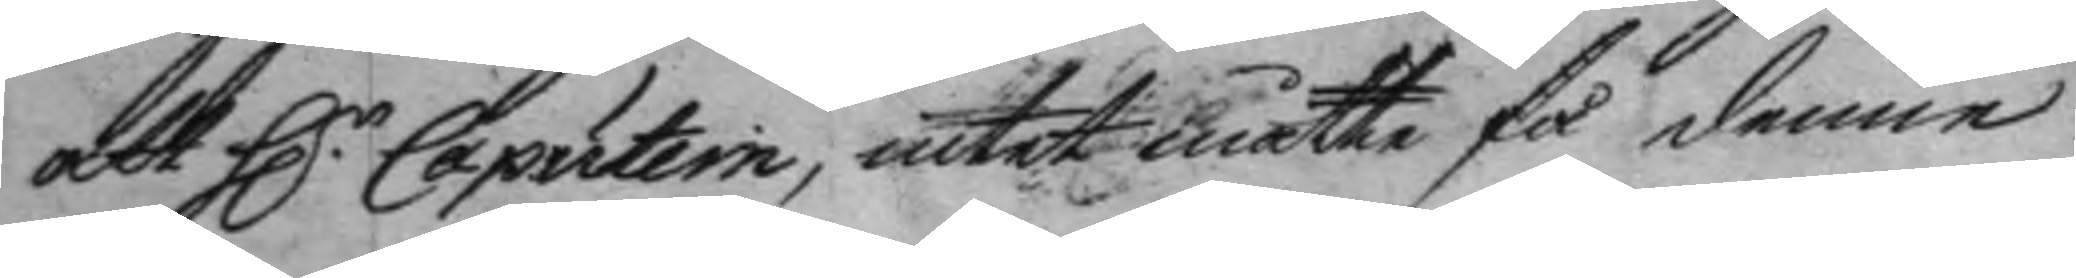att H:r Caputein, intet måtte få denne
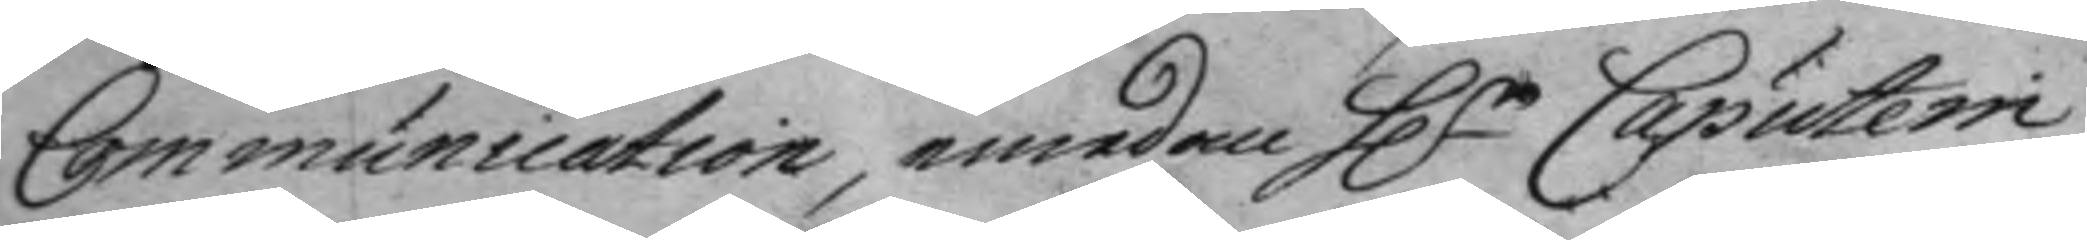Communication, emedan Hr Caputein
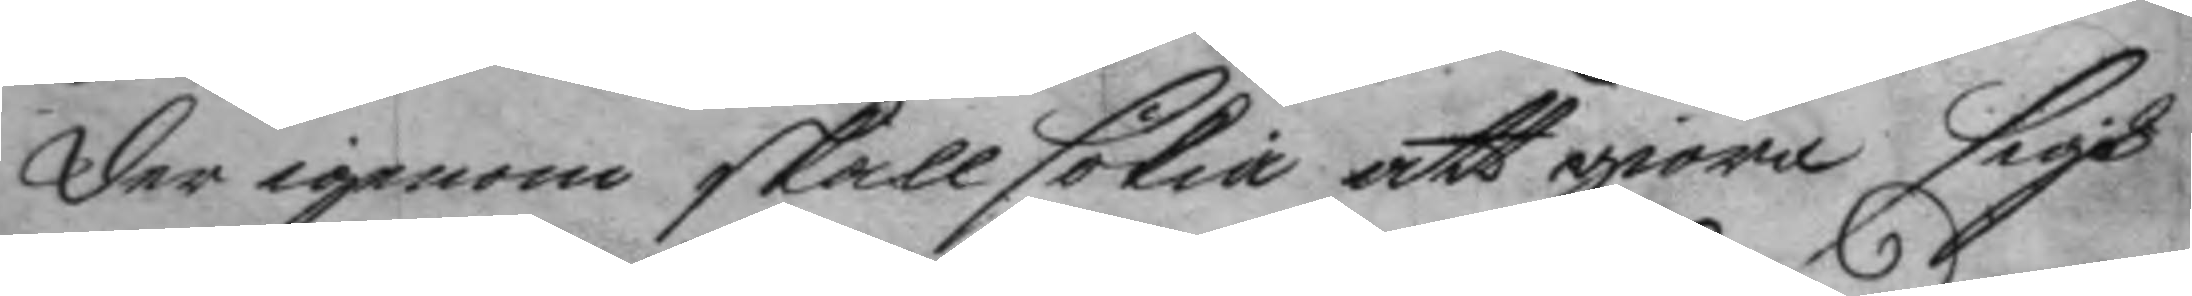der igenom skall sökia att giöra sigh
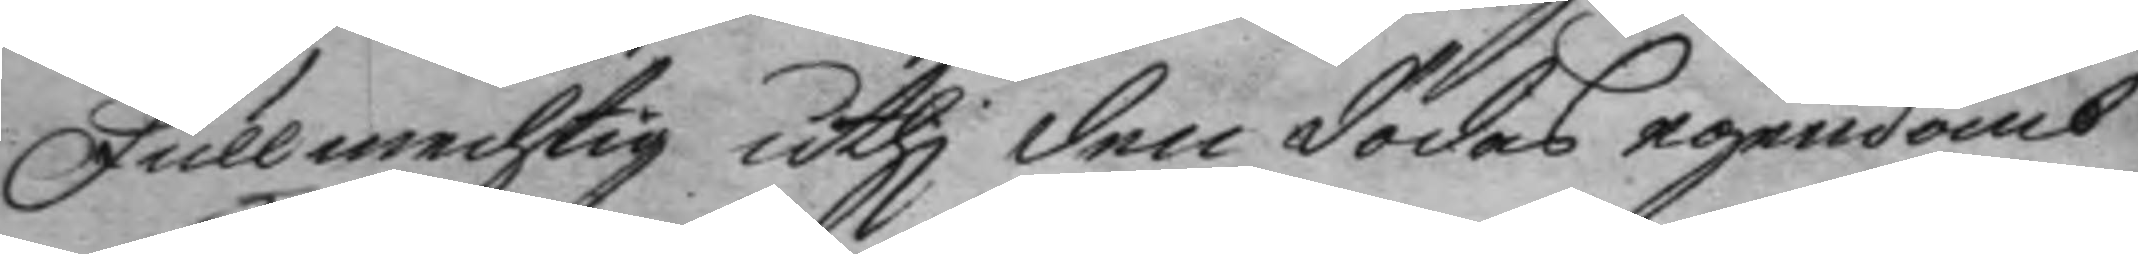Fullmechtig uthi den dödas egendomb
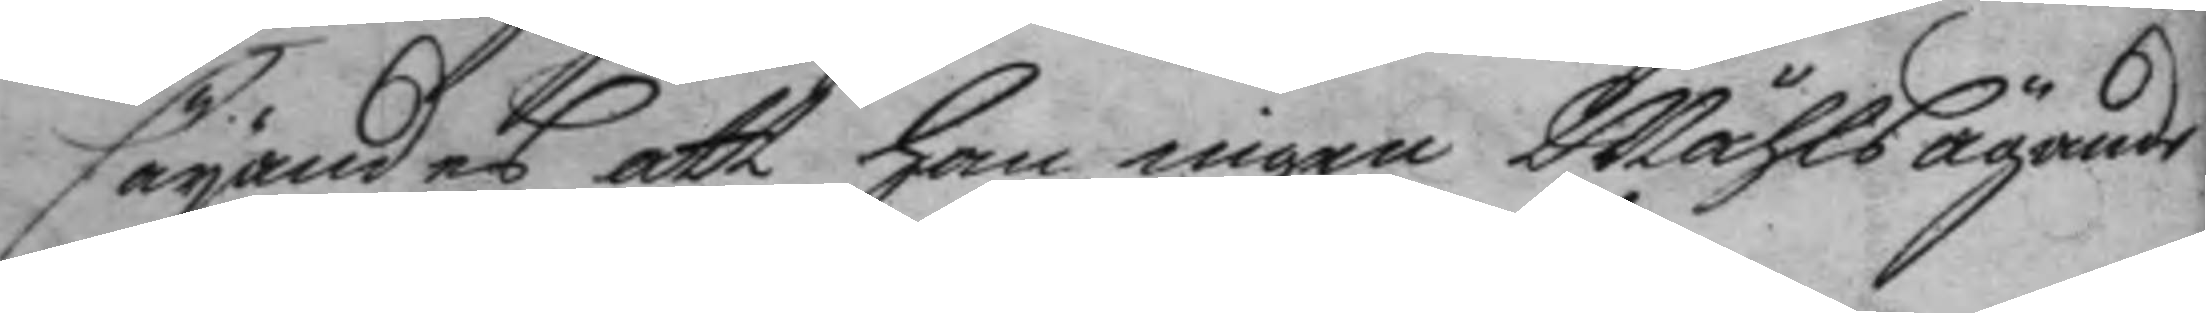säyandes att han ingen Måhlsägande
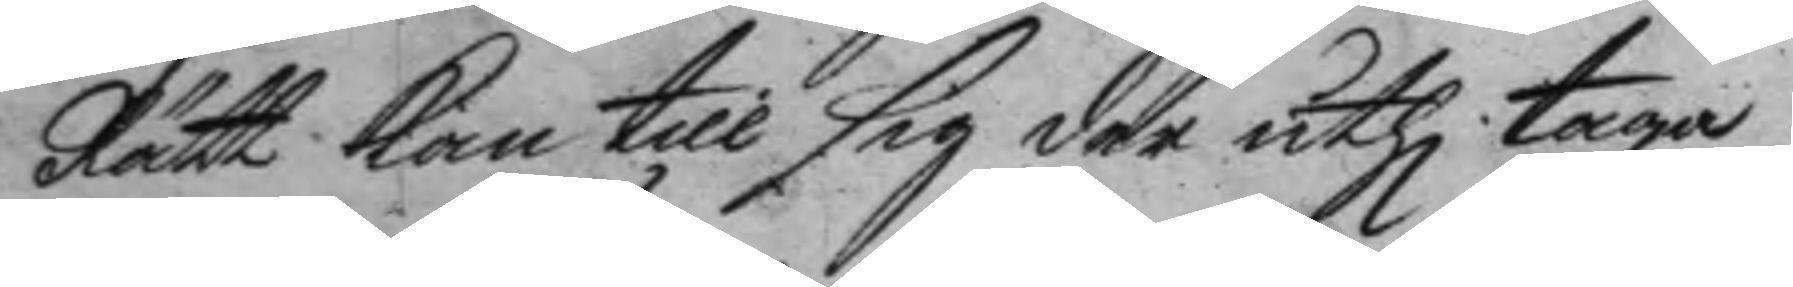Rätt kan till sig der uthi taga.
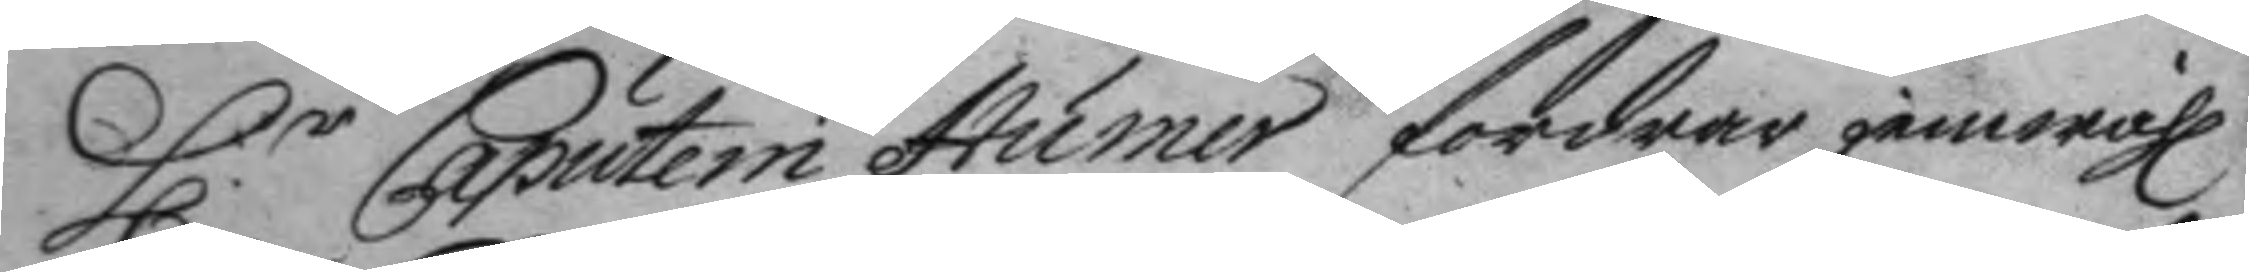H:r Caputein Humer fordrar jemwähl
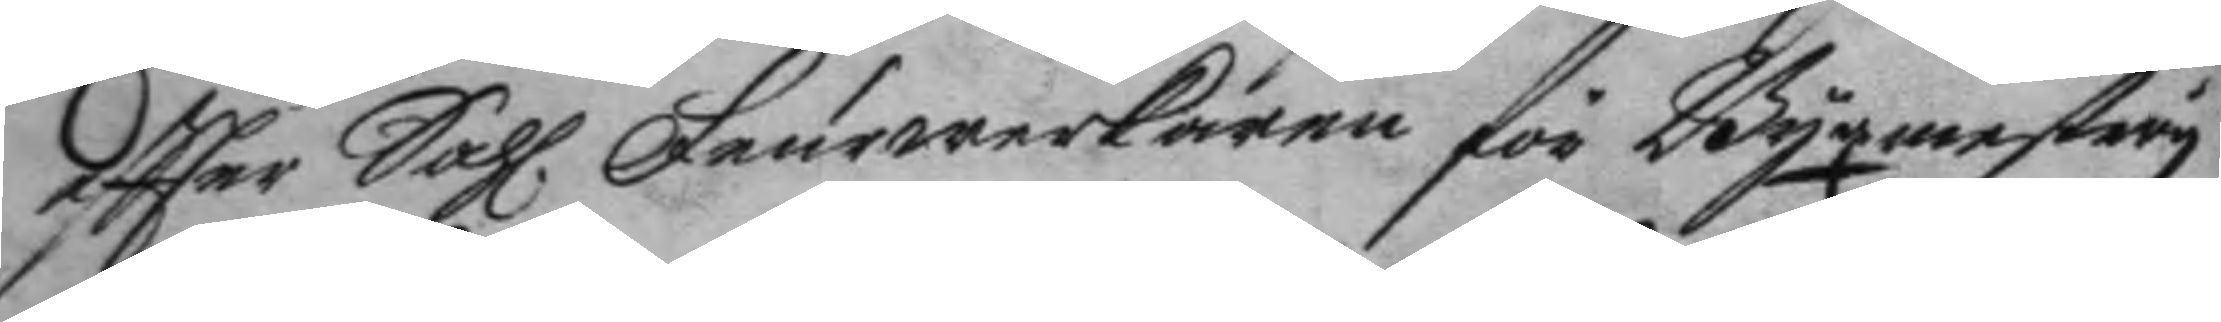eftter Sahl. Feurwerkaren för Byxmestery
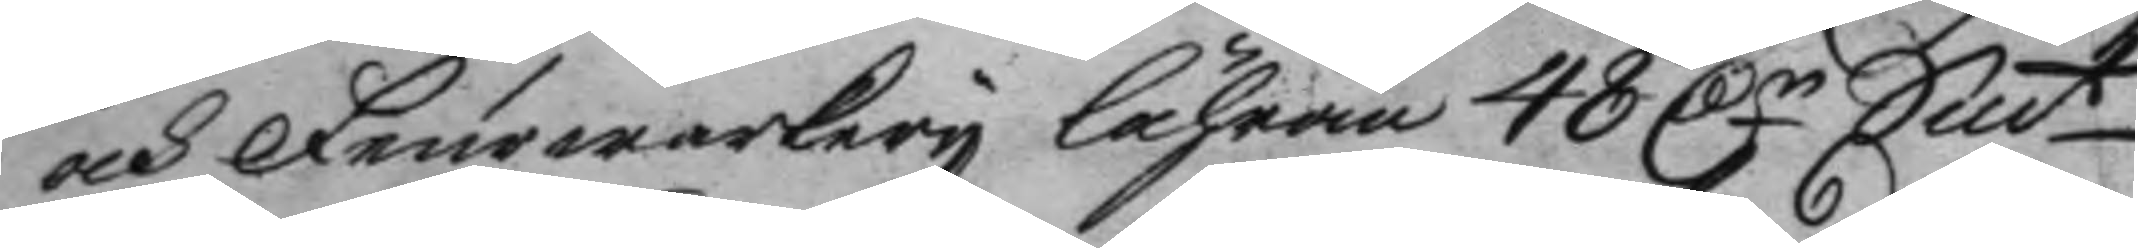och Feurwerkery lähran 48 Dr Smt
